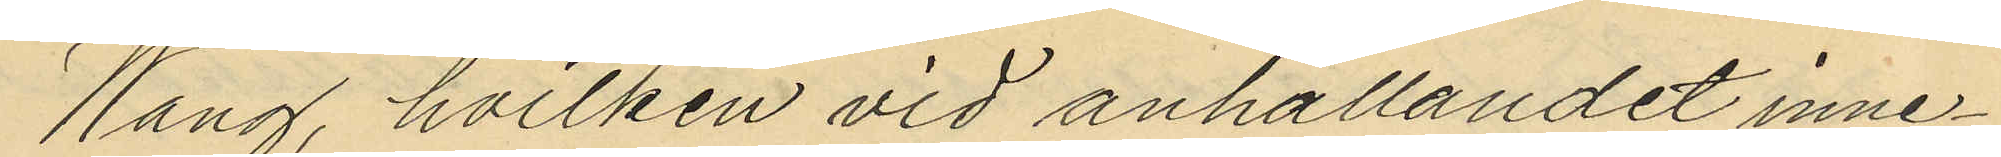Wang, hvilken vid anhållandet inne¬
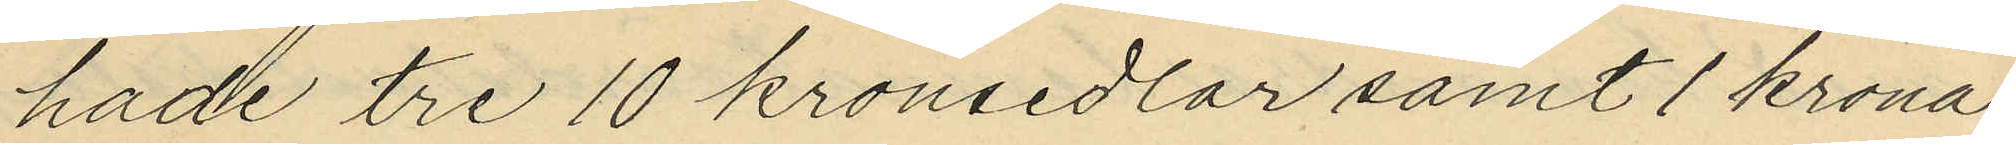hade tre 10 kronsedlar samt 1 krona
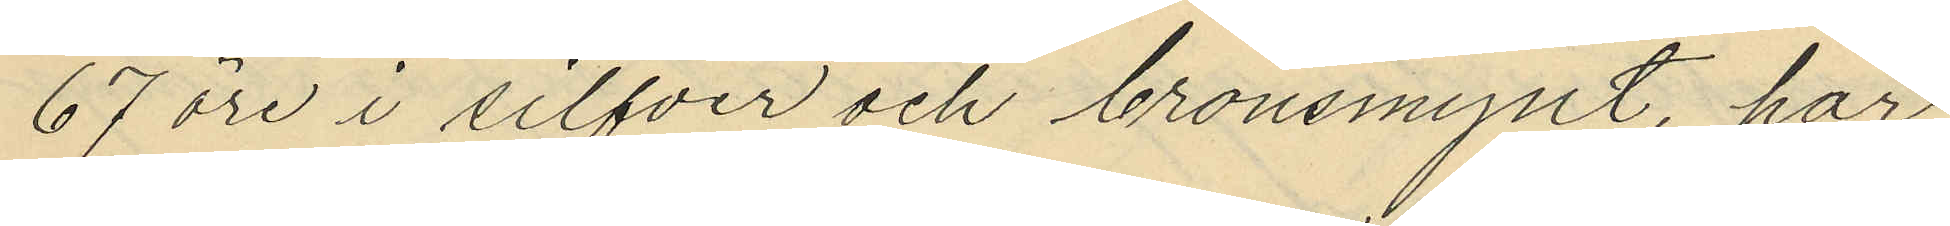67 öre i silfver och bronsmynt, har
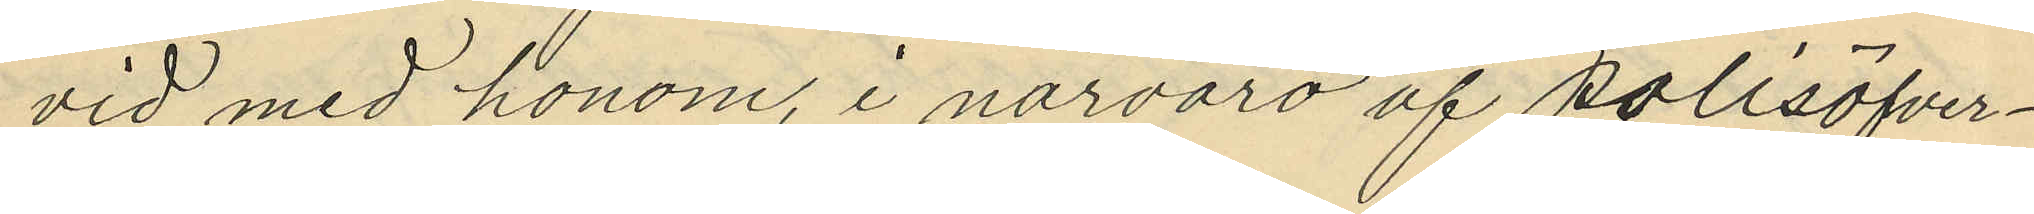vid med honom, i närvaro af polisöfver¬
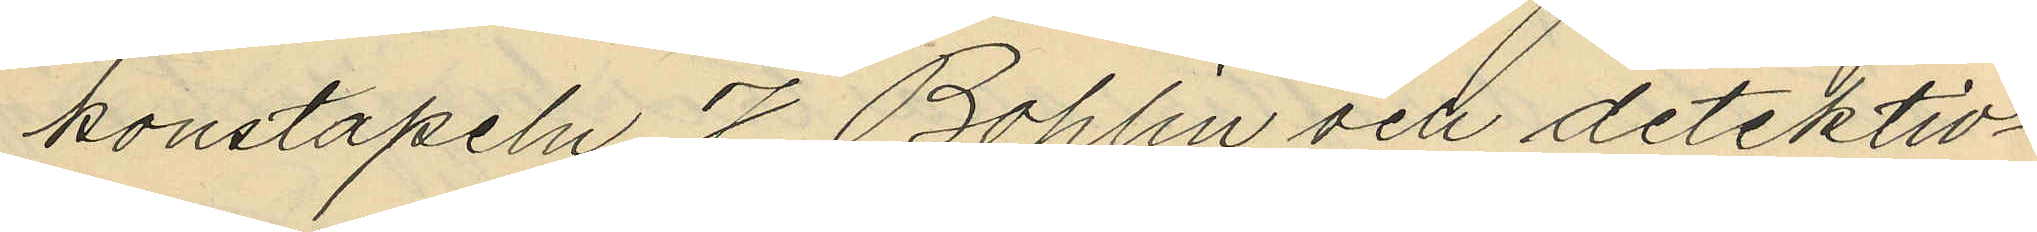konstapeln J. Bohlin och detektiv¬
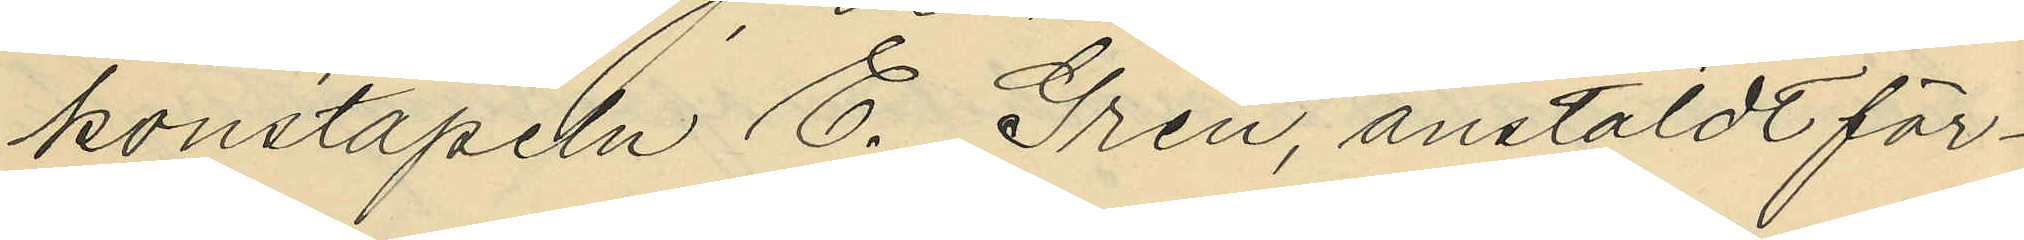konstapeln E. Gren anstäldt för¬
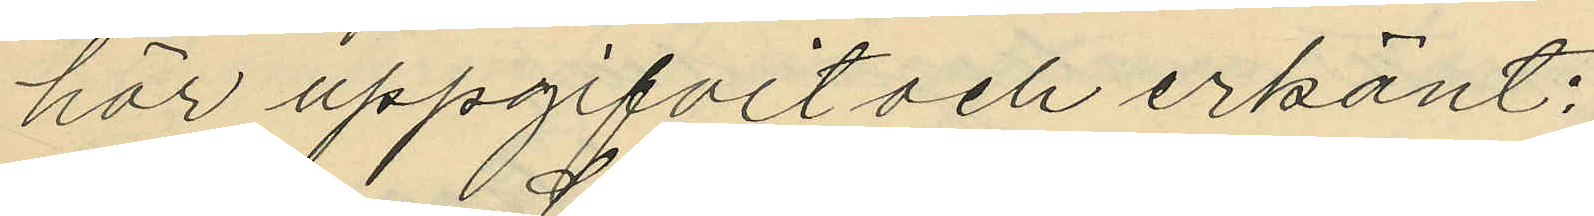hör uppgifvit och erkänt:
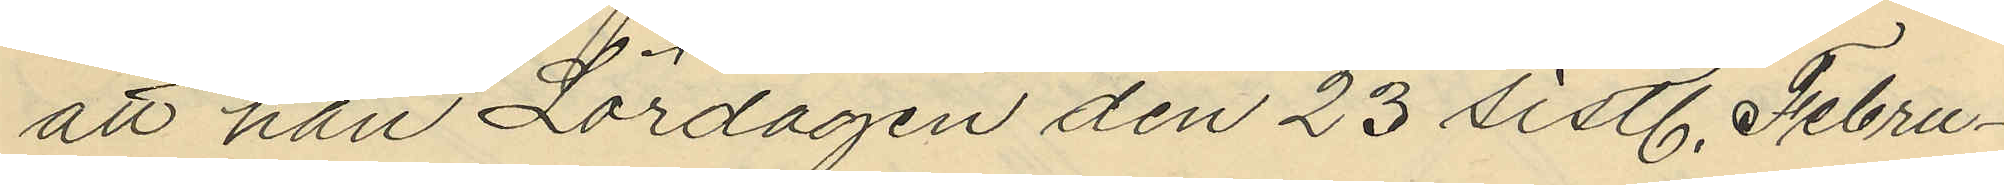att han Lördagen den 23 sistl. Febru¬
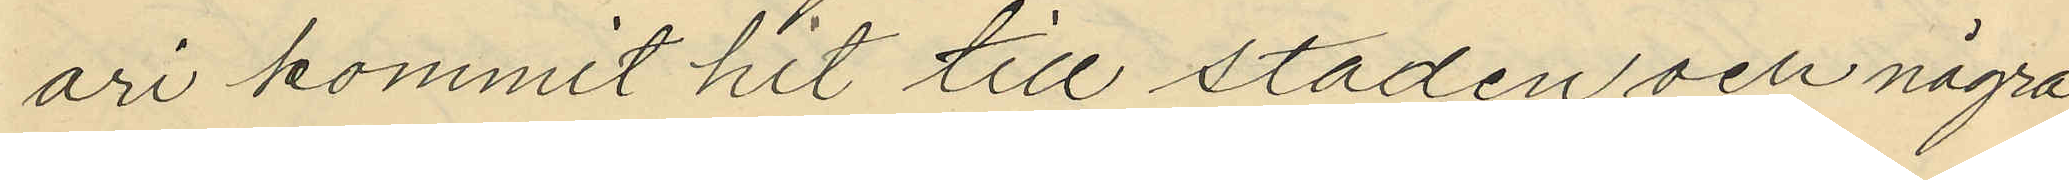ari kommit hit till staden och några
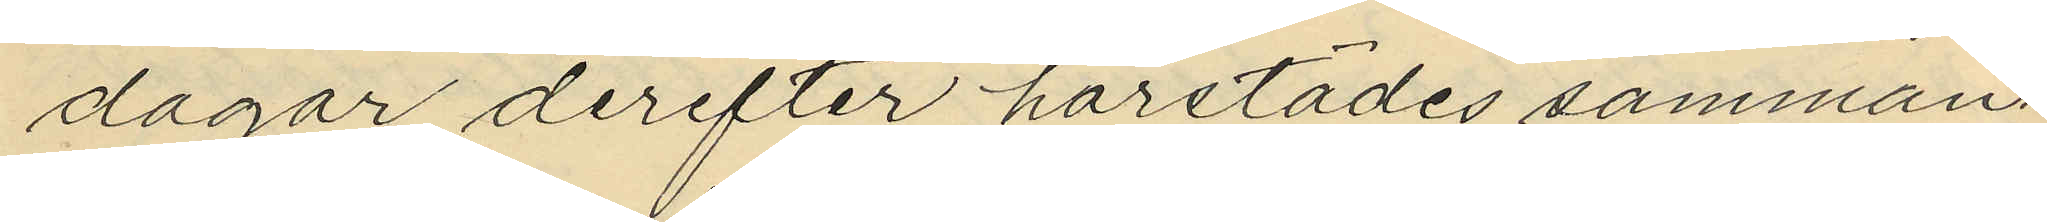dagar derefter härstädes samman¬
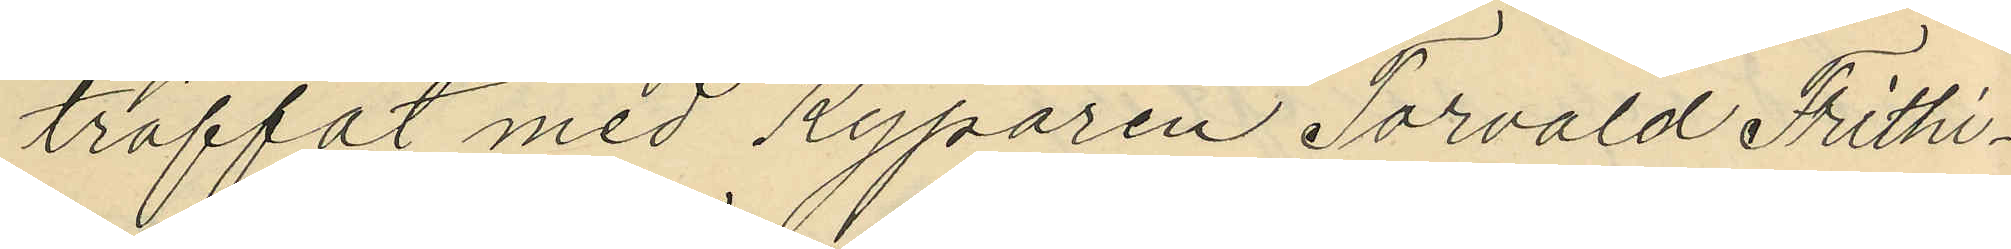träffat med Kyparen Torvald Frithi¬
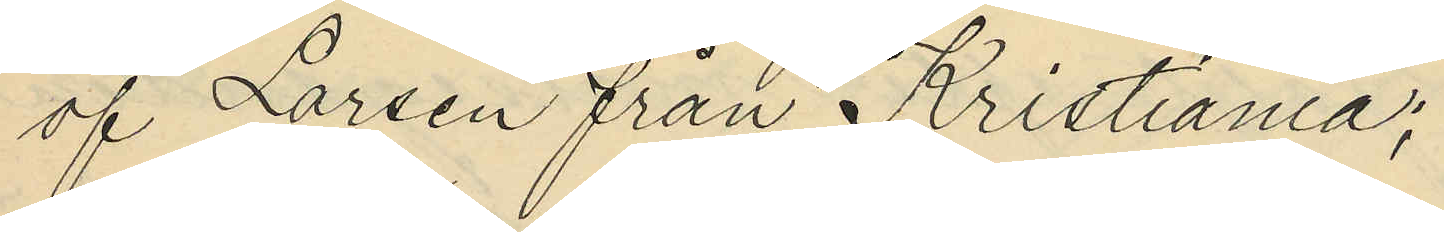af Larsen från Kristiania;
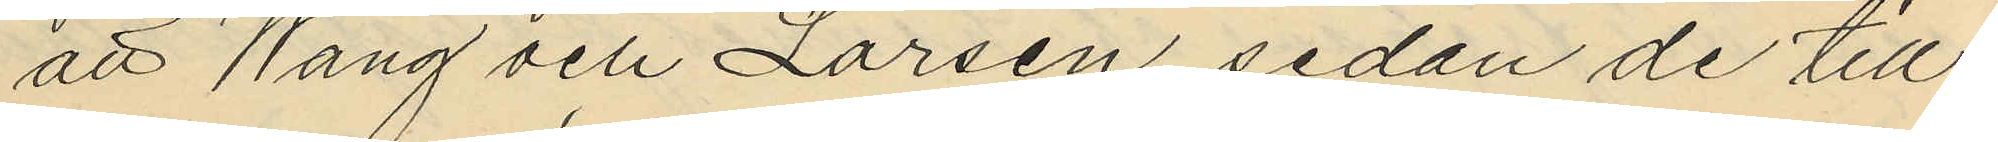att Wang och Larsen, sedan de till¬
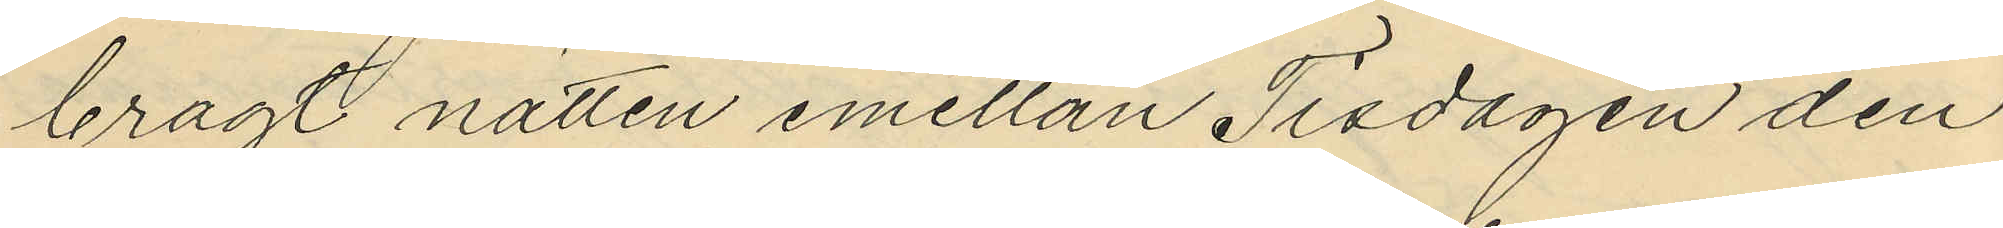bragt natten emellan Tisdagen den
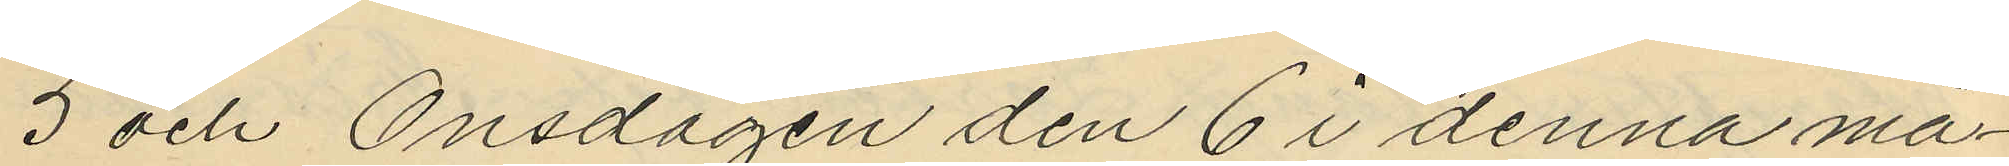3 och Onsdagen den 6 i denna må¬
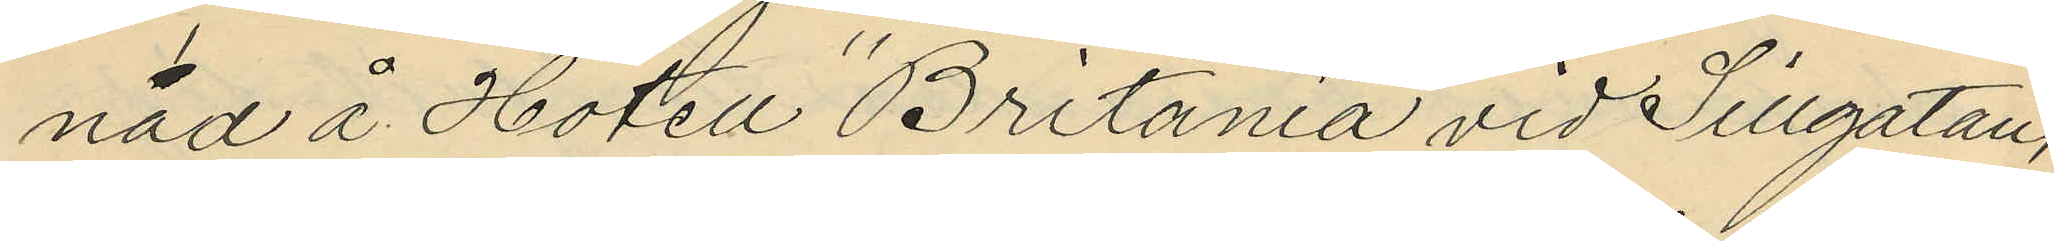nad å Hotell "Britania" vid Sillgatan,
